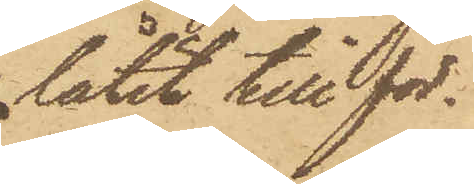låtit till för¬
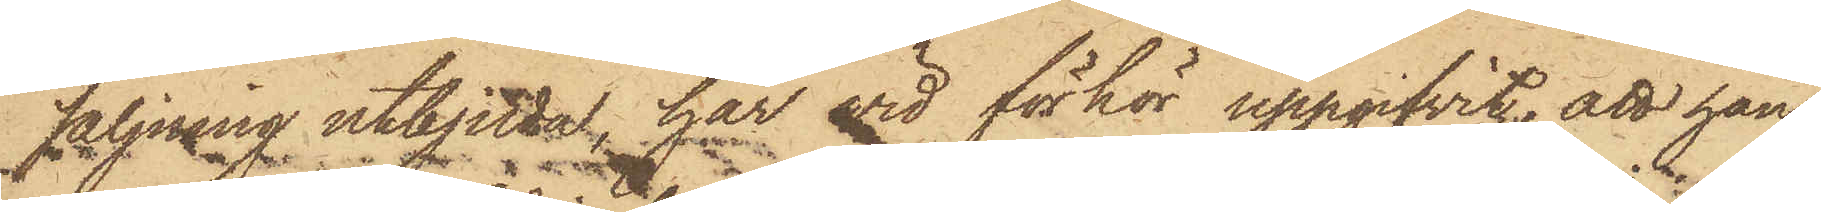säljning utbjuda, har wid förhör uppgifvit, att han
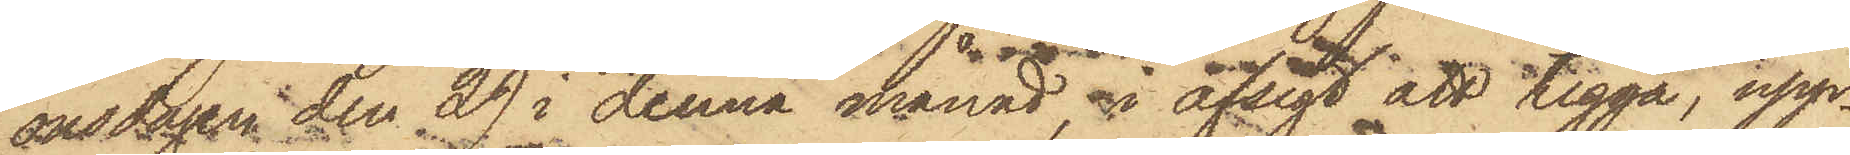onsdagen den 29 i denna månad i afsigt att tigga, upp¬
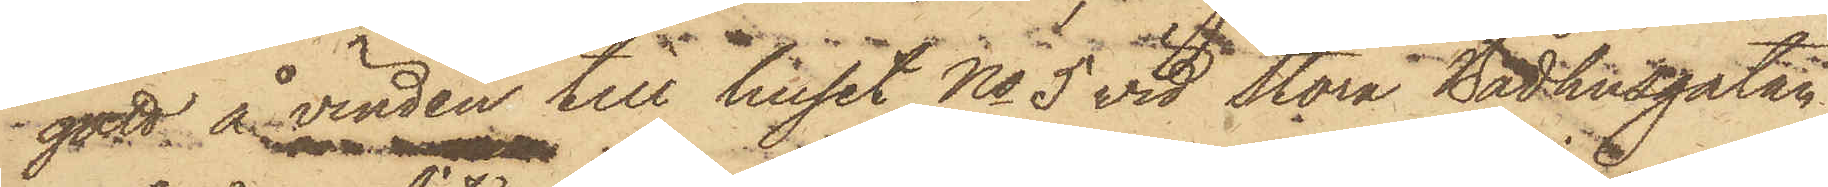gått å vinden till huset No 5 vid Stora Badhusgatan
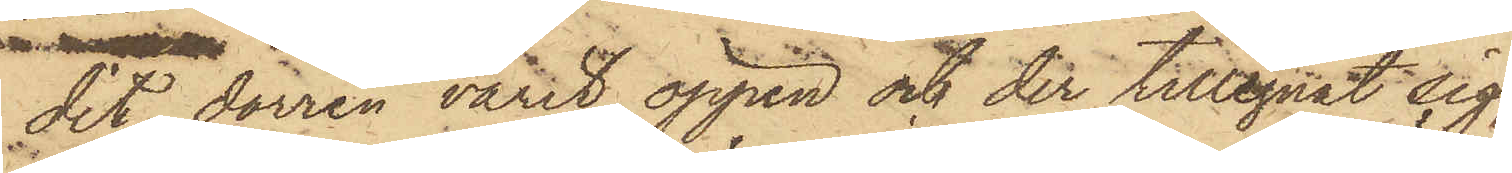dit dörren varit öppen och der tillegnat sig
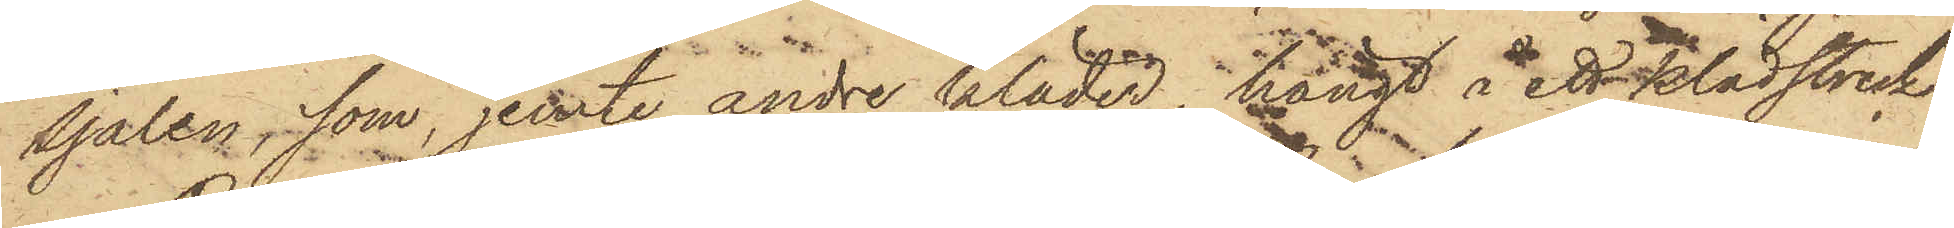sjalen, som, jemte andre kläder, hängt å ett klädstreck.
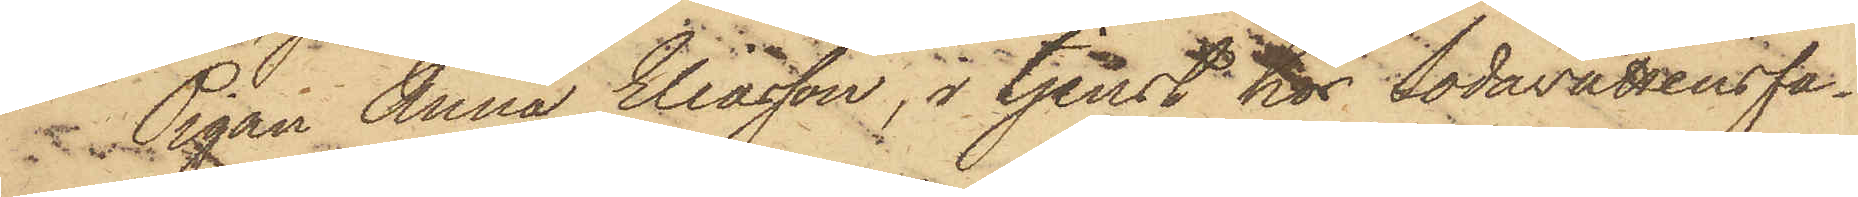 Pigan Anna Eliasson, i tjenst hos Sodavattensfa¬
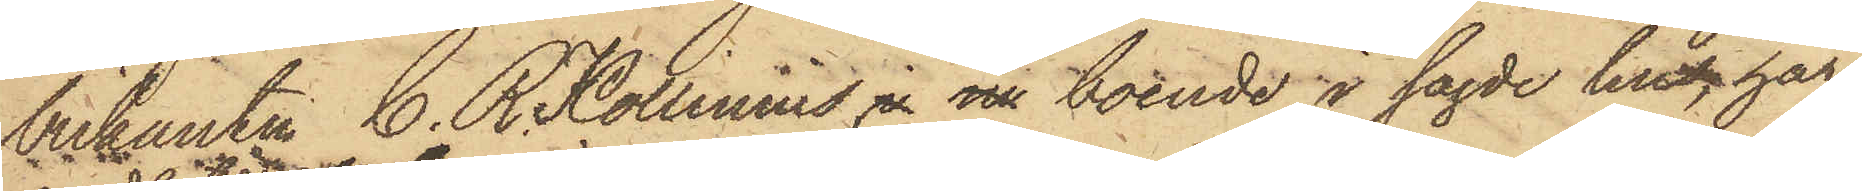brikanten C. R. Kollinius i nu boende i sagde hus, har
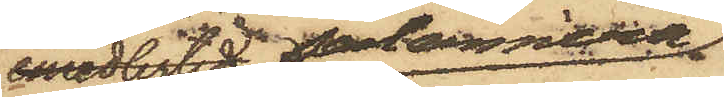emedlertid sedermera
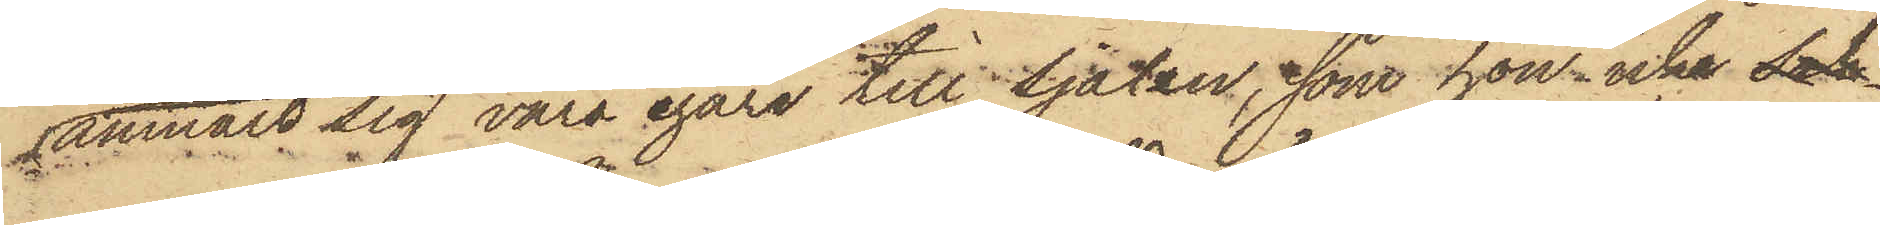anmält sig vara egare till sjalen, som hon icke sak¬
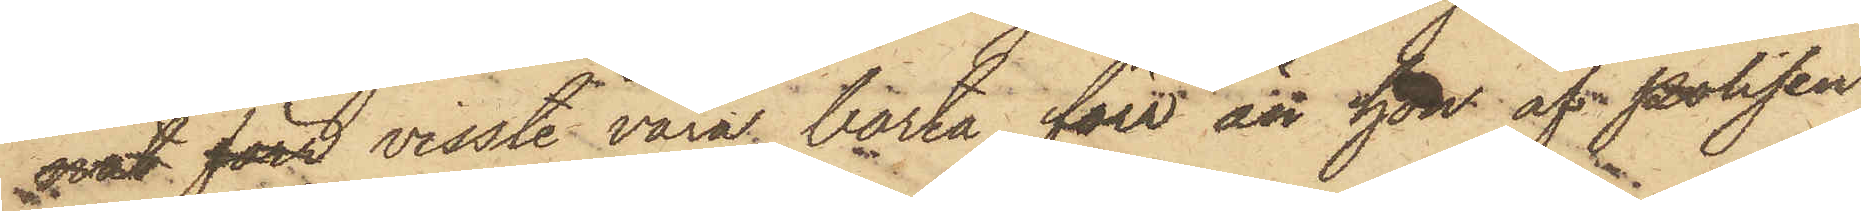nat förr visste vara borta, förr än hon af polisen
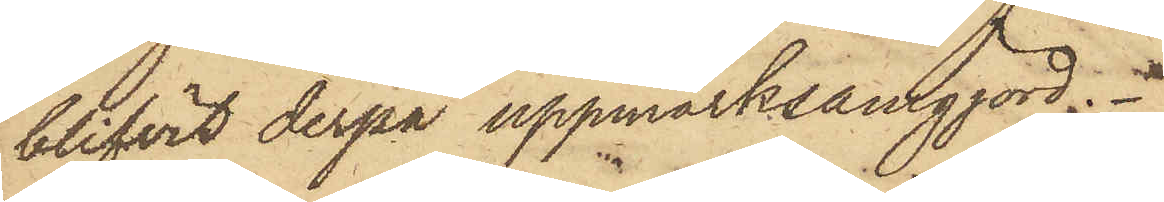blifvit derpå uppmärksamgjord.
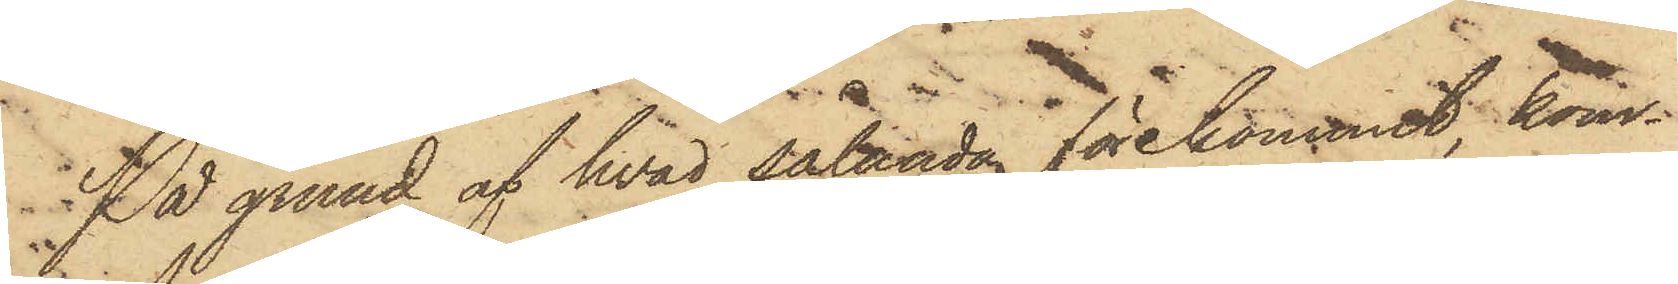På grund af hvad sålunda förekommit, kom¬
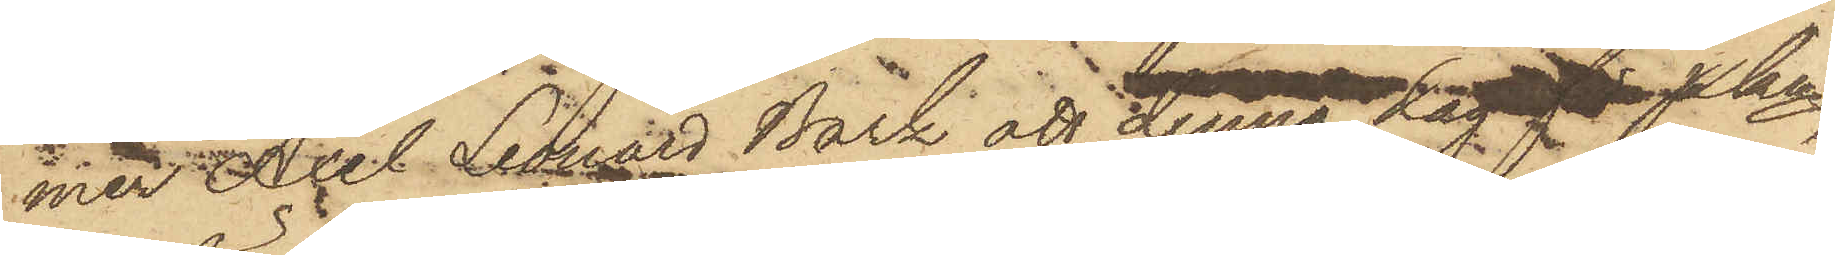med Axel Leonard Bark att denna dag för Pkn
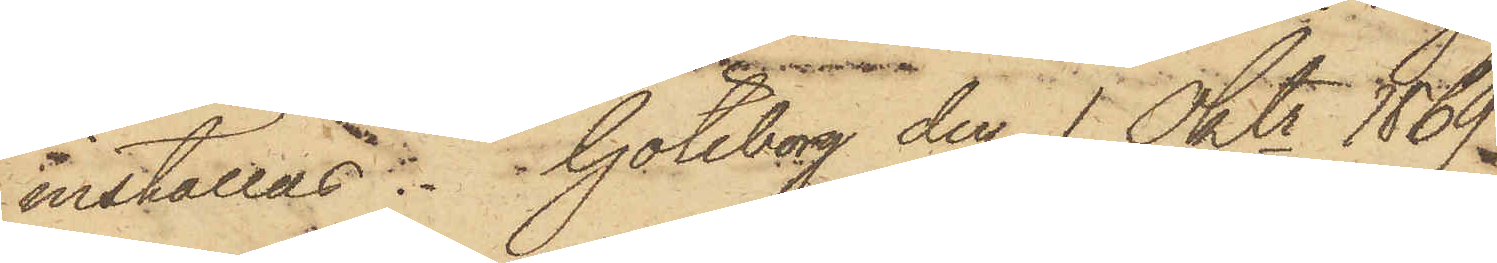inställas. Göteborg den 1 Oktr 1869.
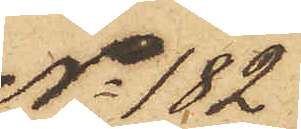No 182
